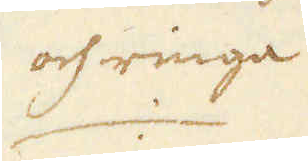och ringa
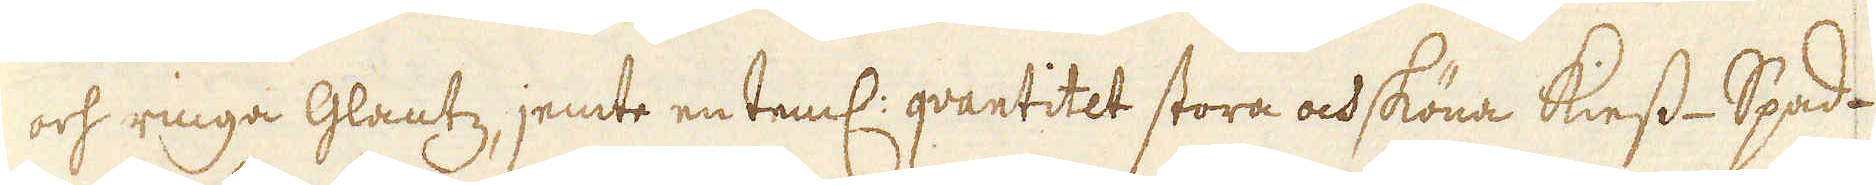och ringa glantz, jemte en teml: qvantitet stora och sköna Kiess-Spad-
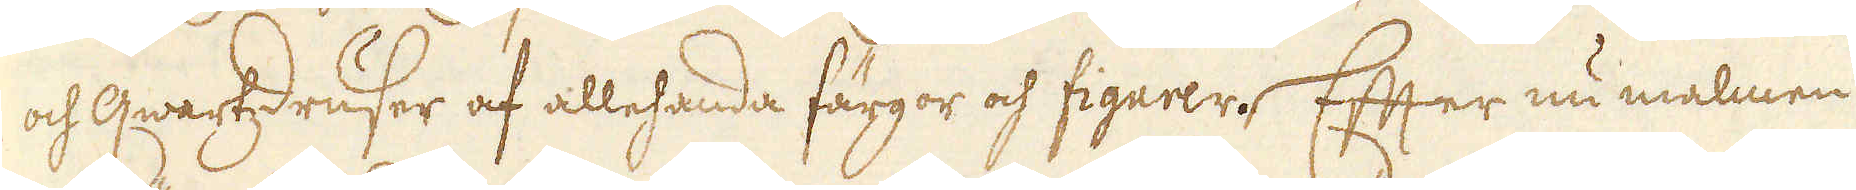och qwartzdruser af allehanda färgor och figurer. Efter nu malmen
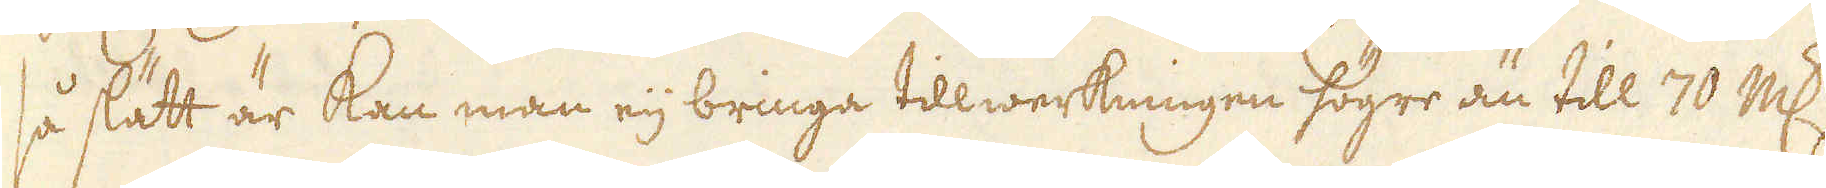så slätt är kan man eij bringa tillwerkningen högre än till 70 marker
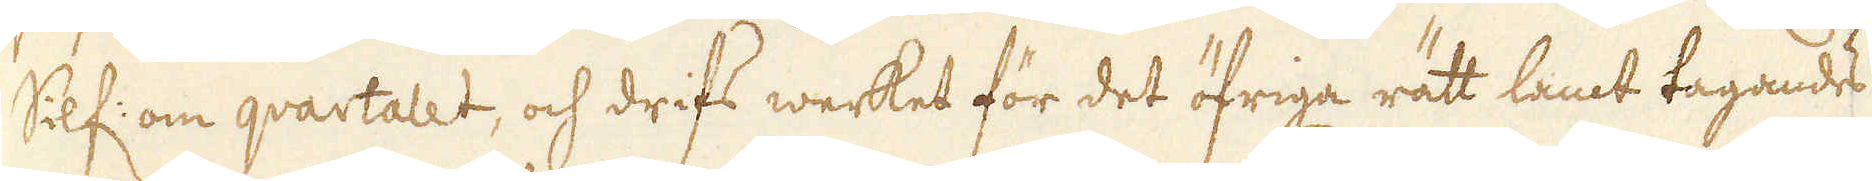Silf: om qvartalet, och drifs werket för det öfriga rätt lamt tagandes
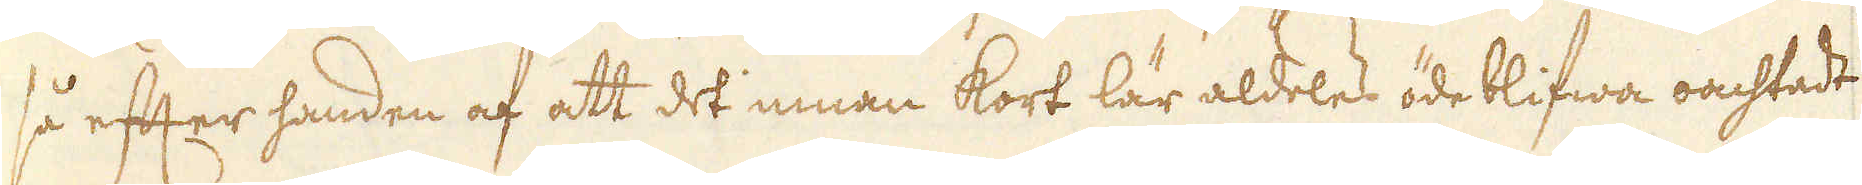så efter handen af att det innan kort lär aldeles öde blifwa oachtadt
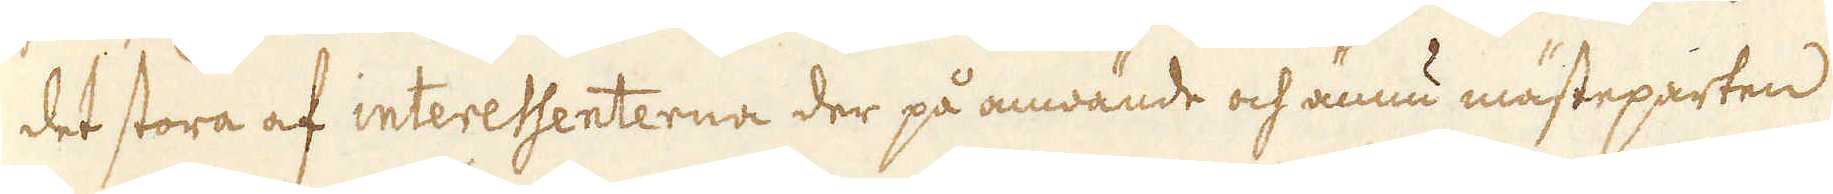det stora af interessenterna der på anwände och ännu mästeparten
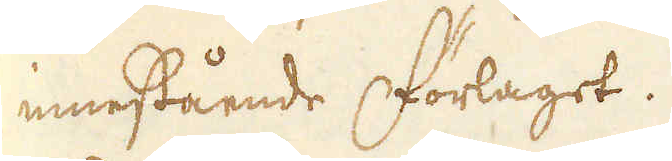innestående Förlaget.
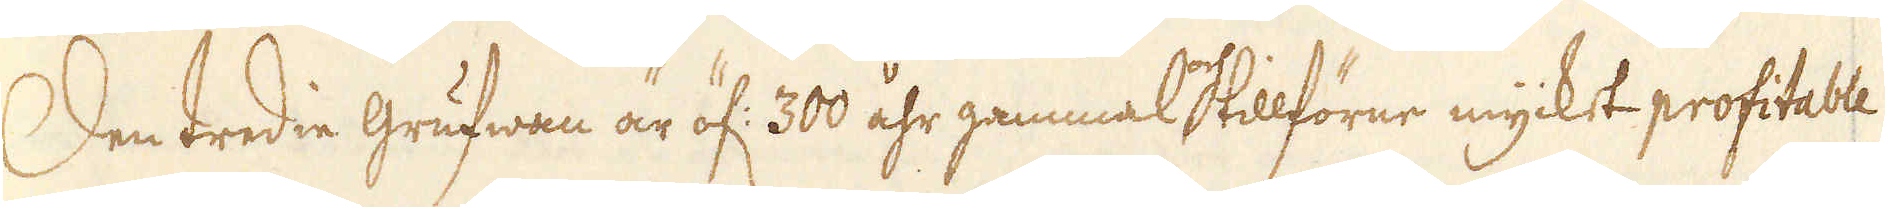Den tredie grufwan är öf: 300 åhr gammal och tillförne mycket profitable
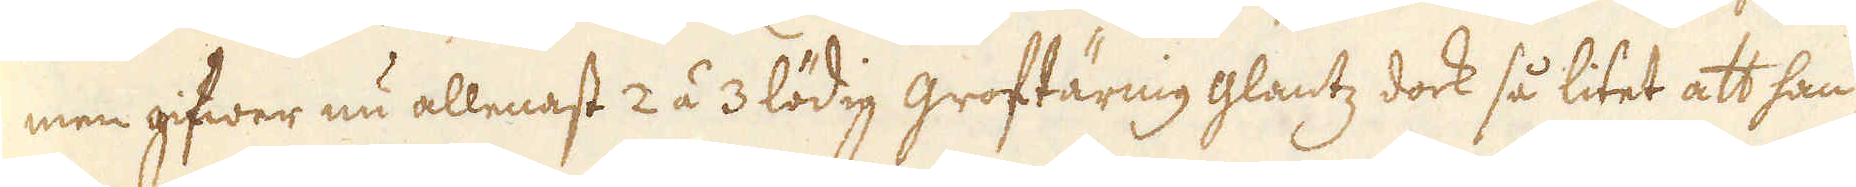men gifwer nu allenast 2 á 3 lödig groftärnig glantz dock så litet att han
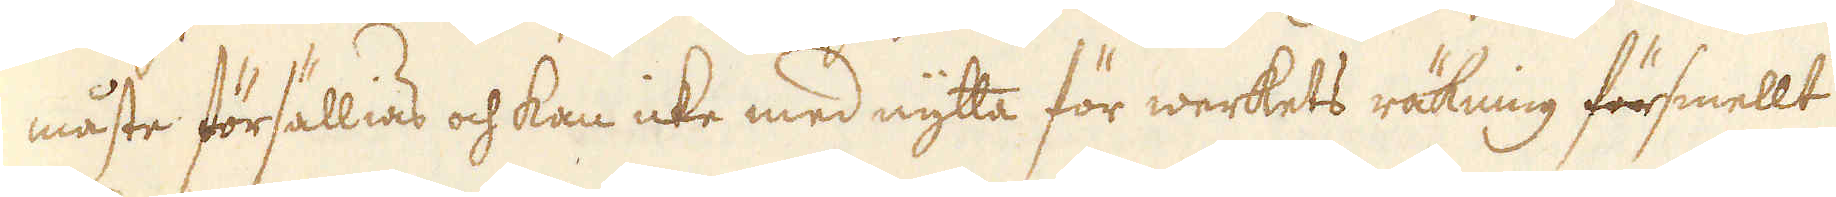måste försällias och kan icke med nytta för werkets räkning försmellt
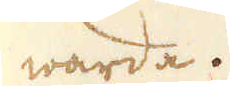warda.
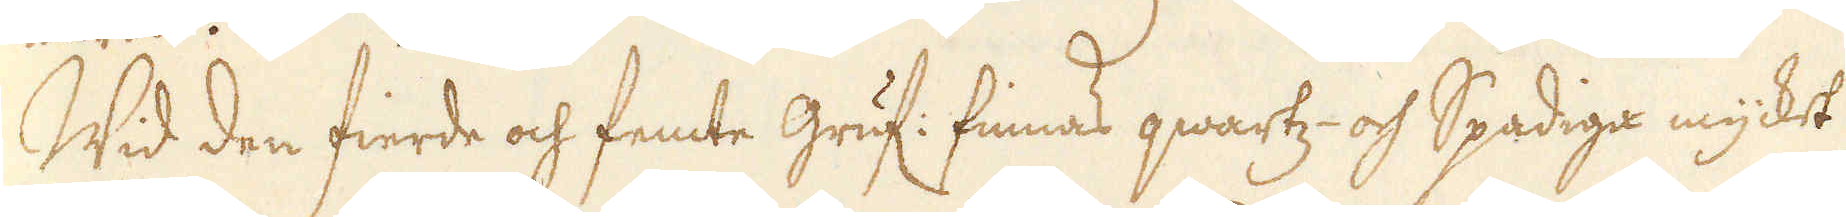Wid den fierde och femte gruf: finnas qwartz- och Spadiga mycket
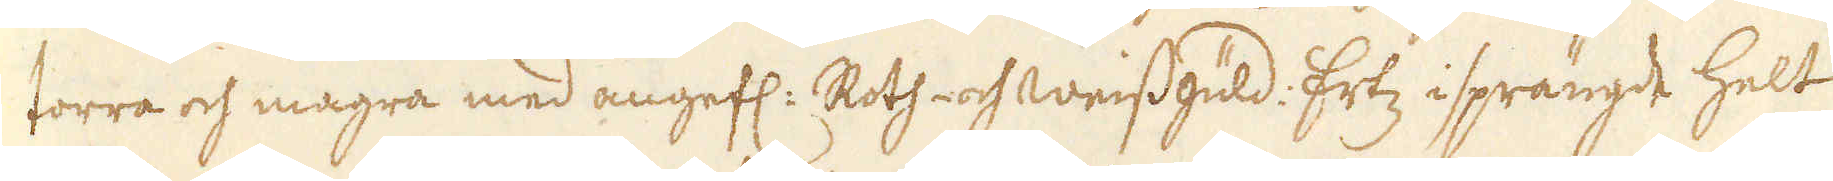torra och magra med angefl: Roth- och weissgüld: Ertz isprängde helt
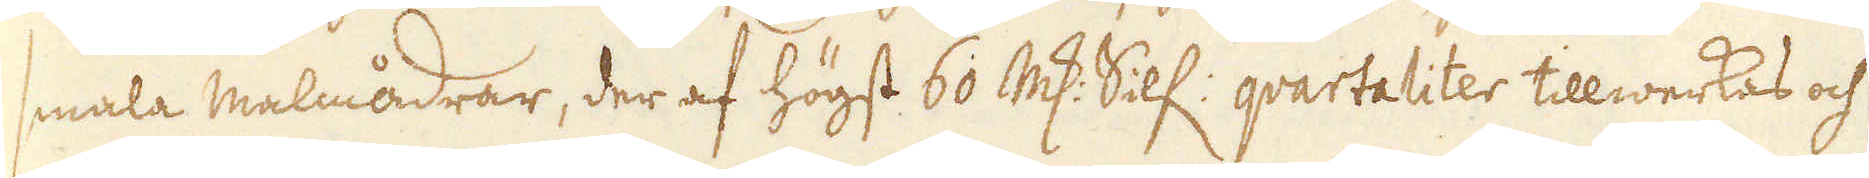smala malmådrar, der af högst 60 marker Silf: qvartaliter tillwerkas och
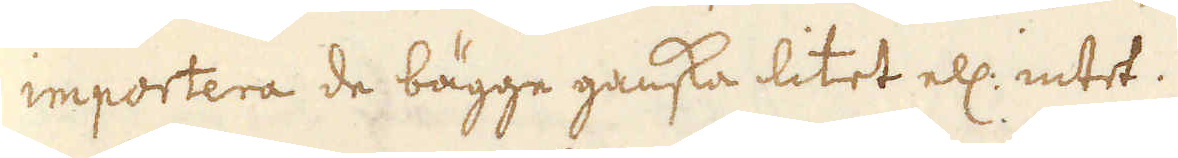importera de bägge ganska litet ell: intet.
